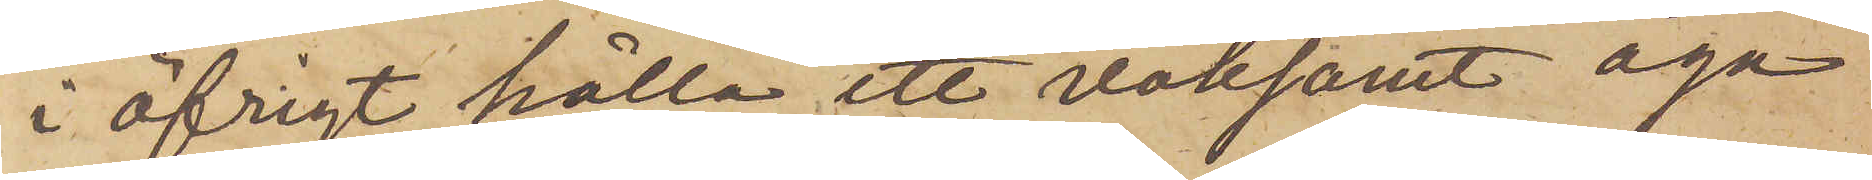i öfrigt hålla ett vaksamt aga
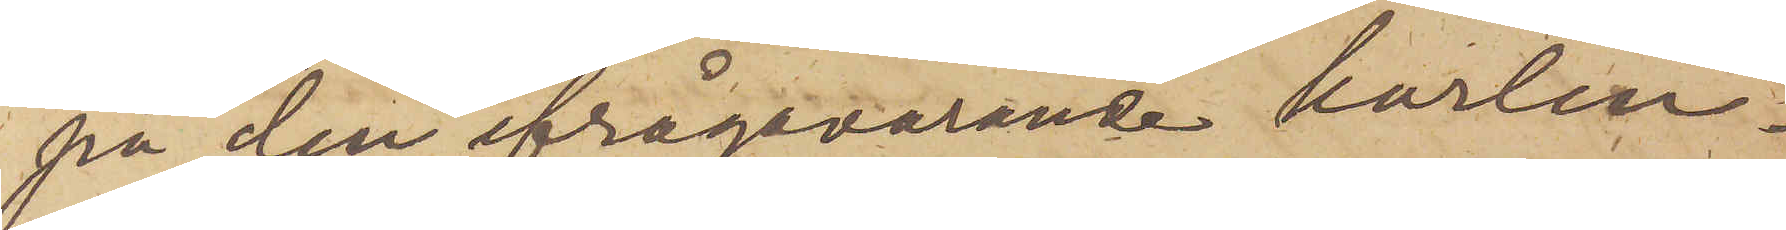på den ifrågavarande karlen.
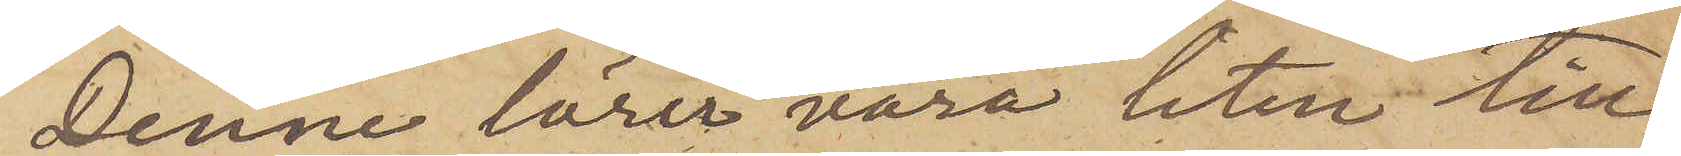Denne lärer vara liten till
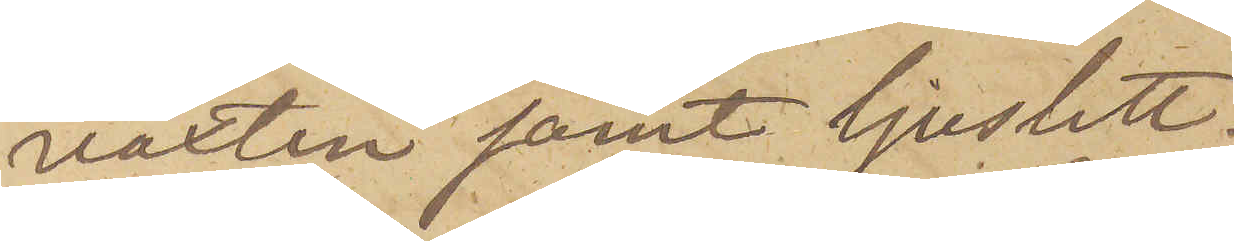vaxten samt ljuslett.
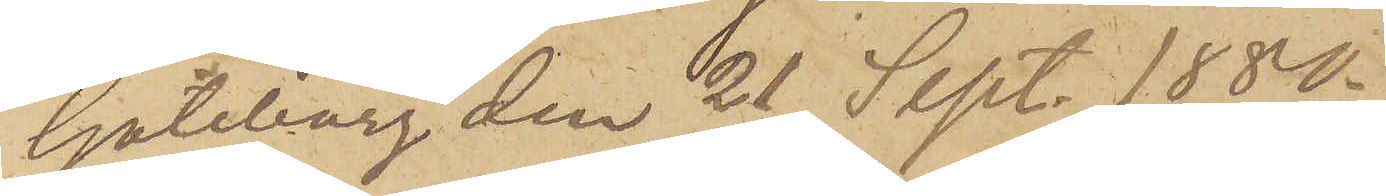Göteborg den 21 Sept. 1880.
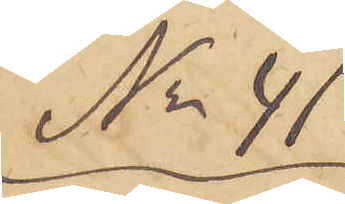No 41
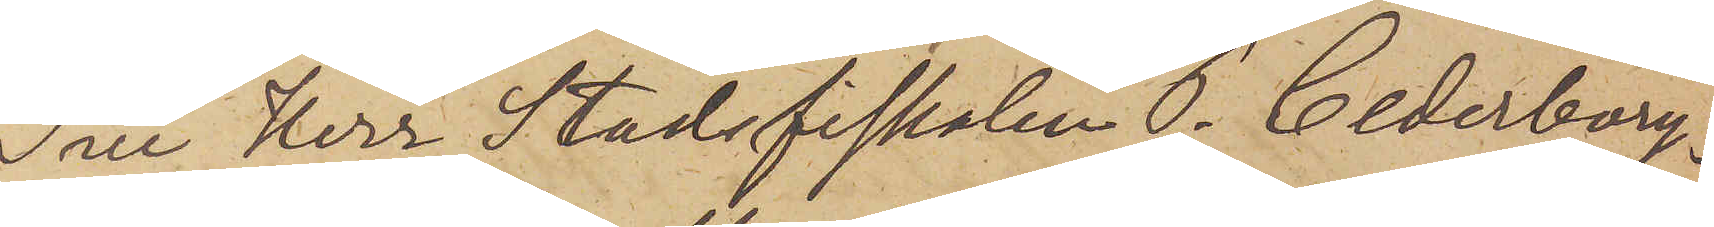Till Herr Stadsfiskalen P. Cederborg.
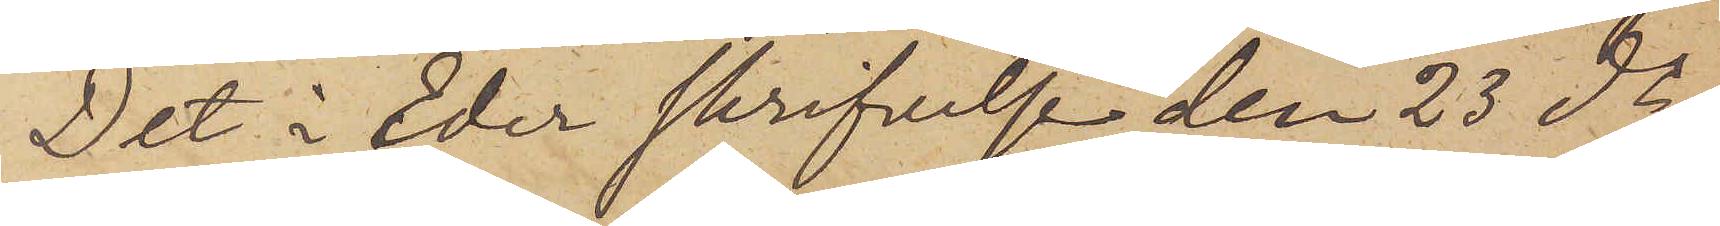Det i eder skrifvelse den 23 ds
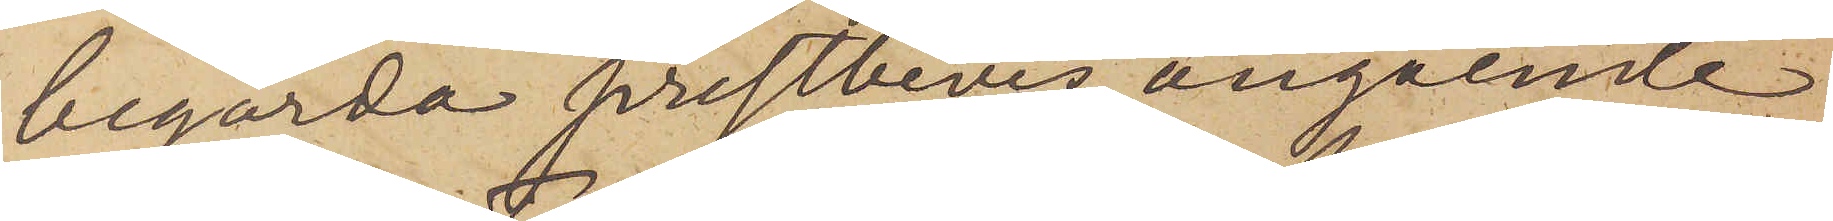begärda prestbevis angående
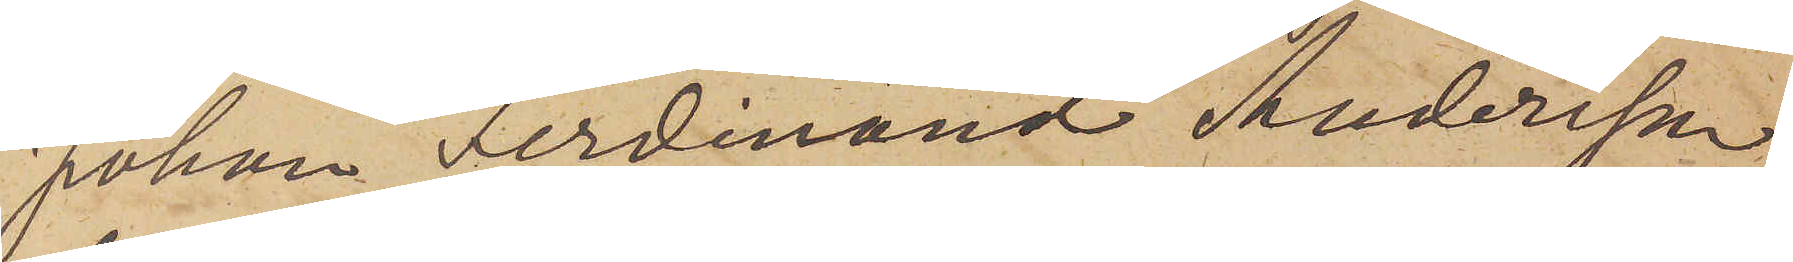Johan Ferdinand Andersson
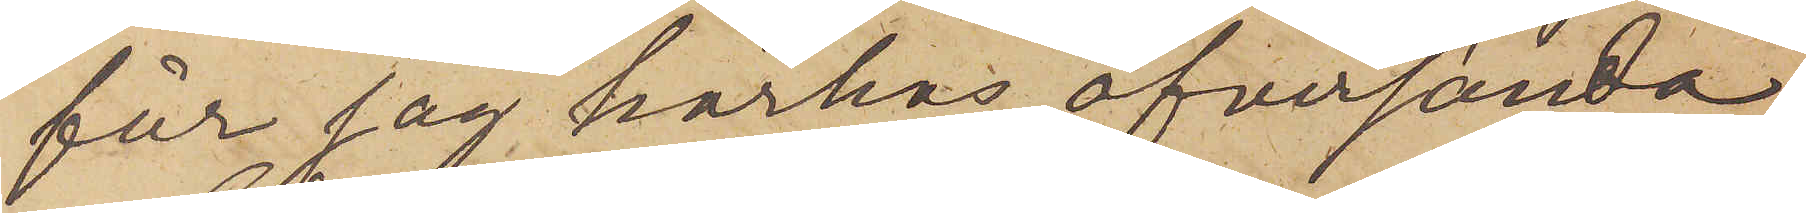får jag härhos öfversända.
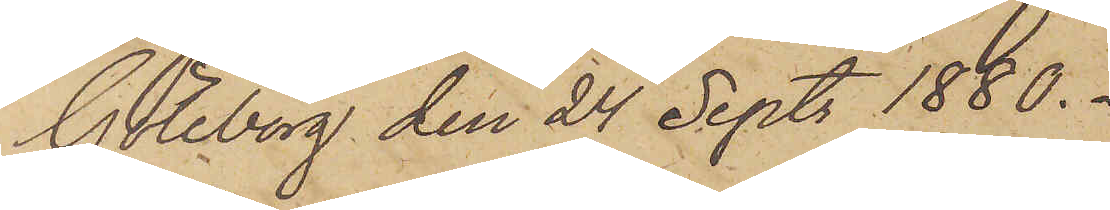Göteborg den 24 Sept. 1880.
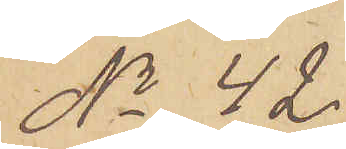No 42.
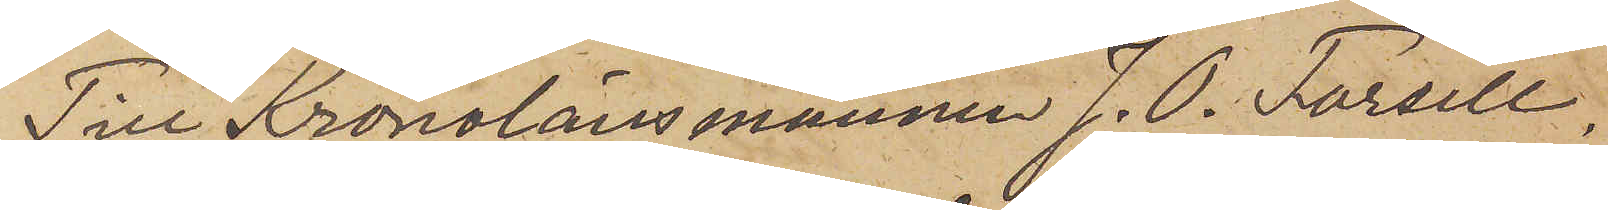Till Kronolänsmannen J. O. Forsell.
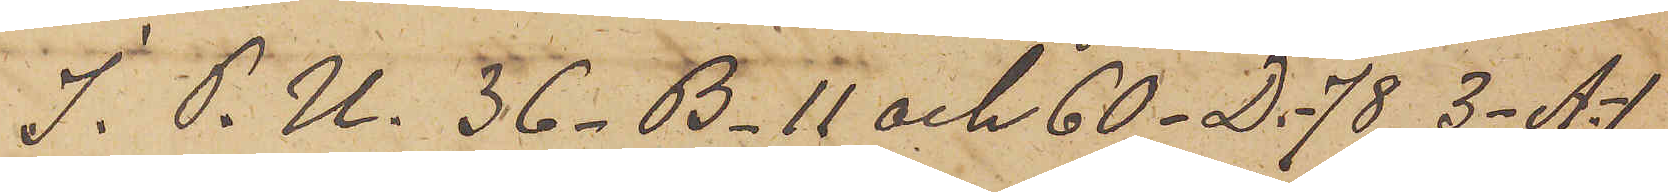I. P. U. 36 - B - 11 och 60 - D. -78, 3- A.-1
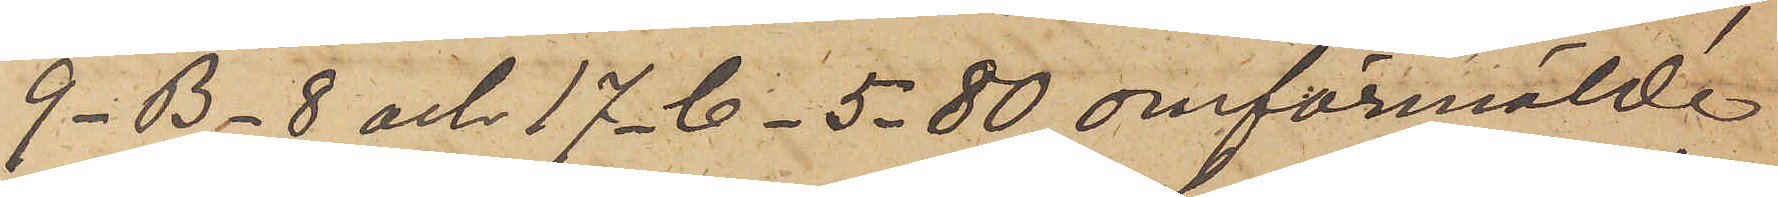9- B- 8 och 17-C-5-80 omförmälde
